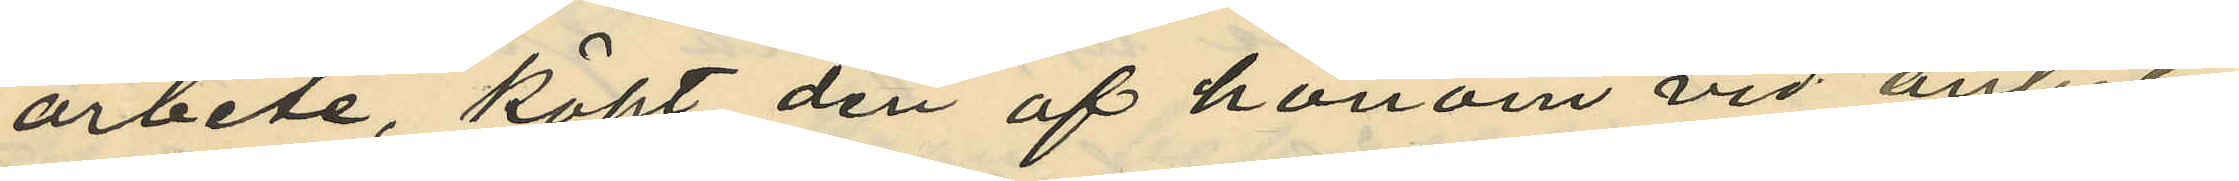arbete, köpt den af honom vid anhål¬
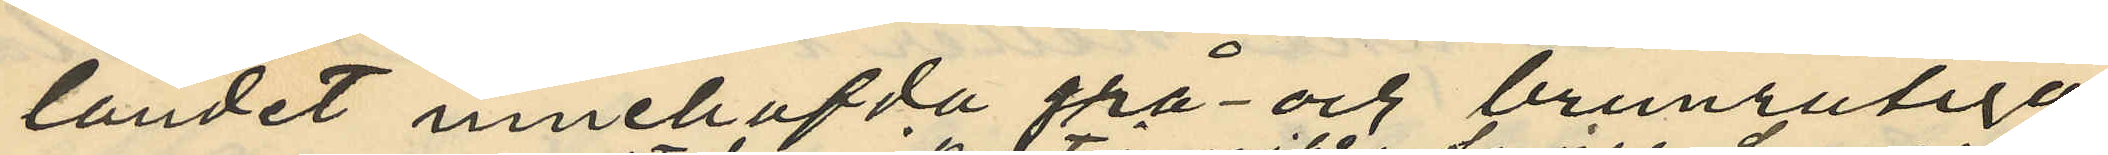landet innehafda grå och brunrutiga
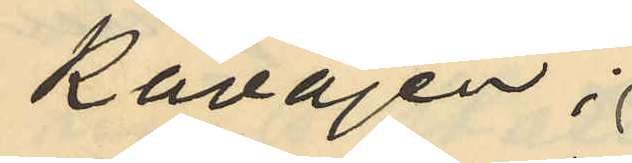Kavajen.
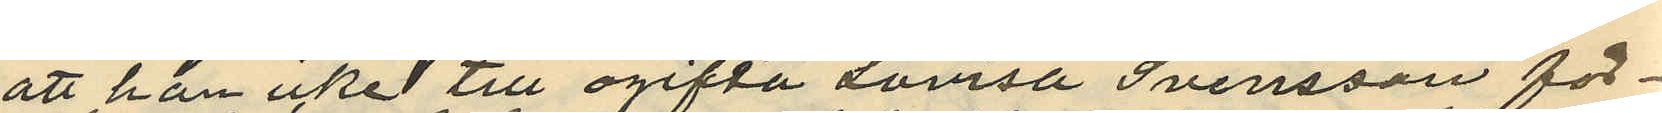att han icke till ogifta Lovisa Svensson för¬
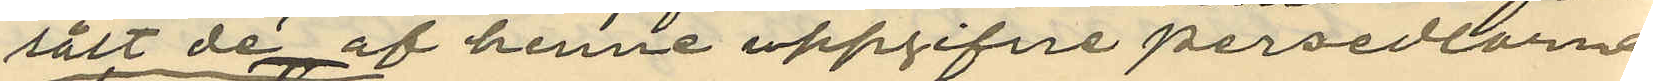sålt då af henne uppgifne persedlarne
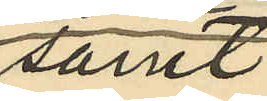samt
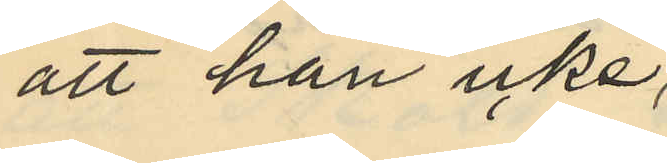att han icke,
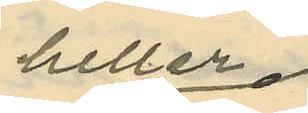heller
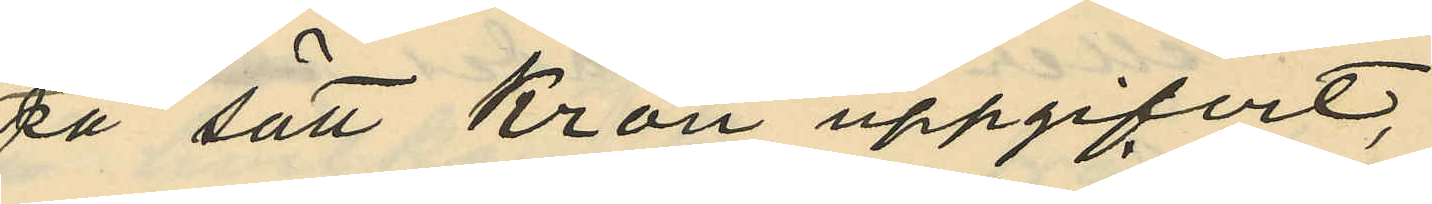på sätt Kron uppgifvit,
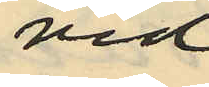vid
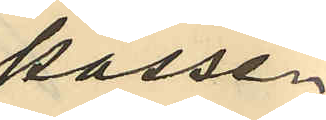passe¬
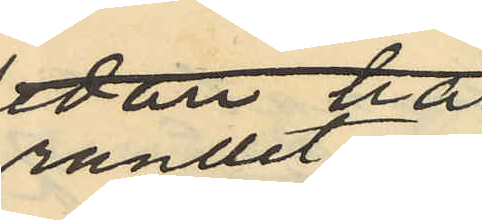randet af
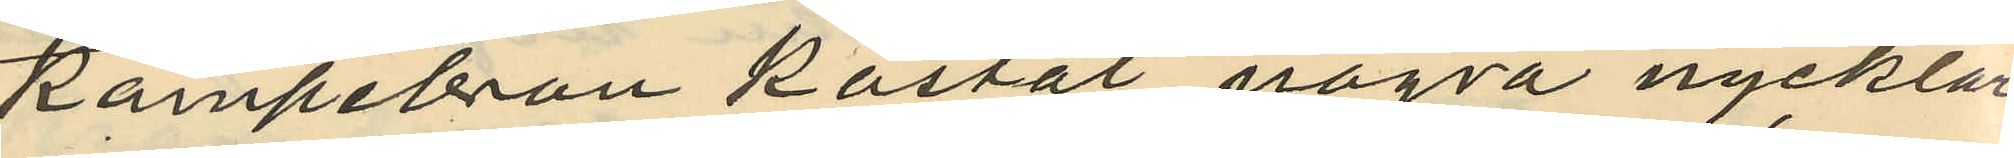Kämpebron kastat några nycklar
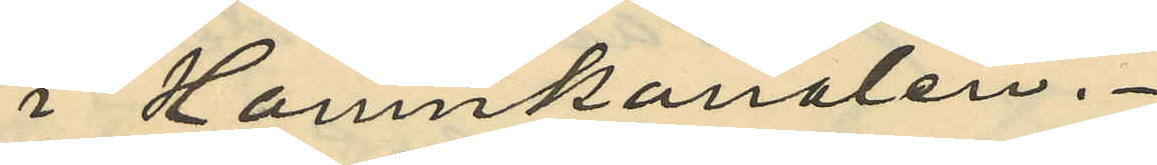i Hamnkanalen.
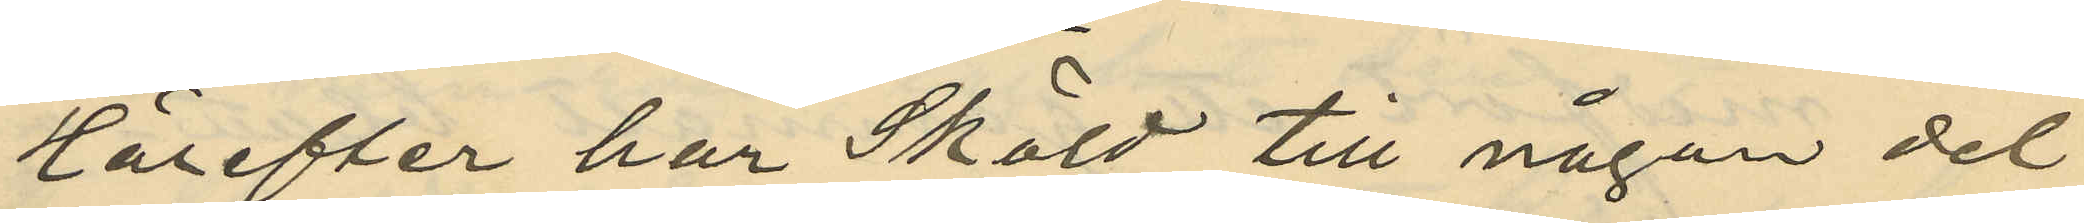Härefter har Sköld till någon del
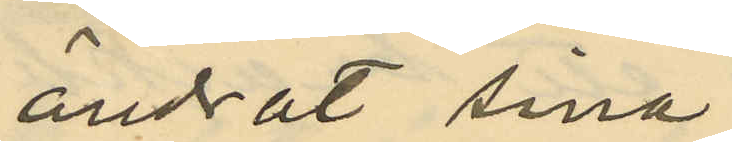ändrat sina
